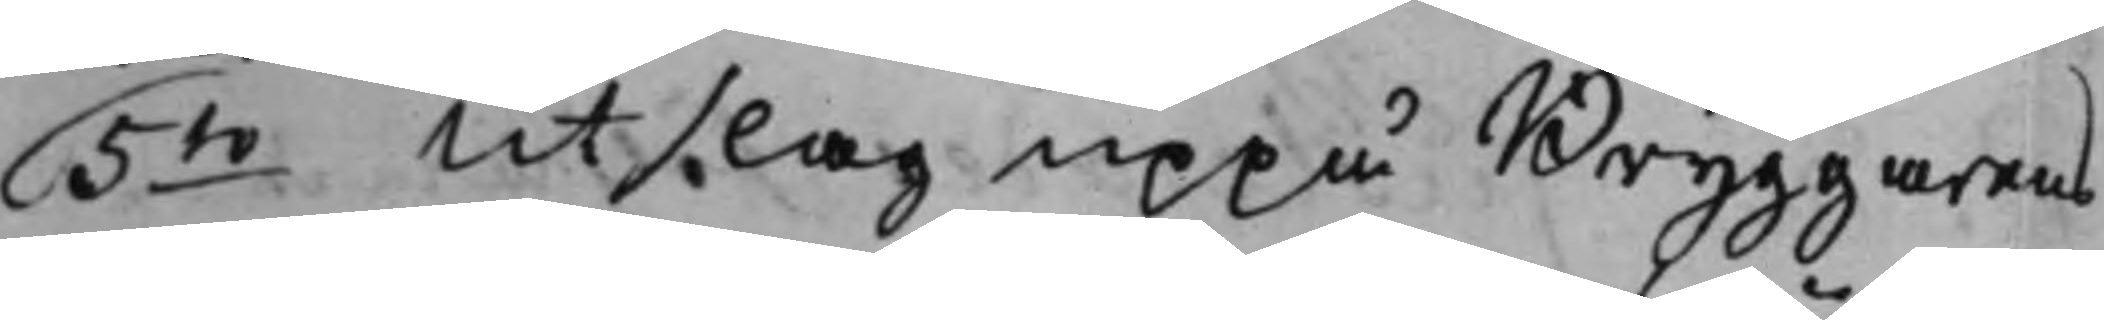5to Utslag uppå Bryggarens 
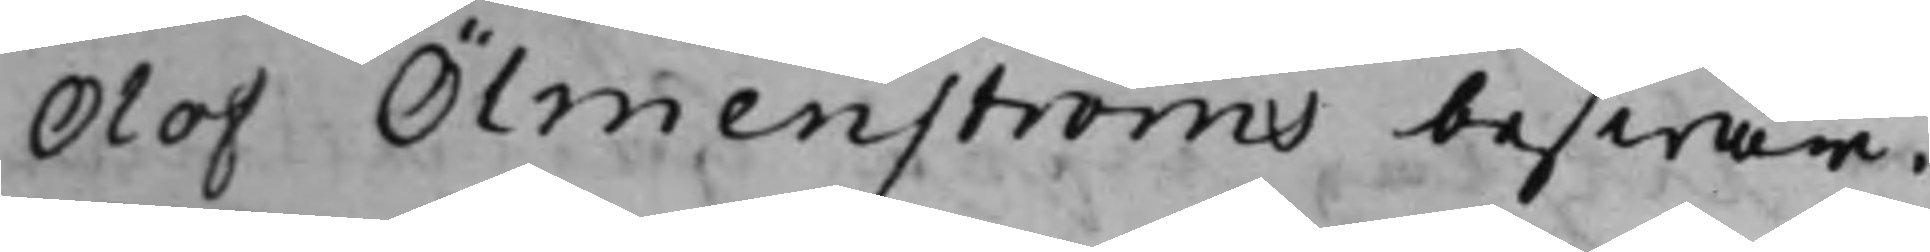Olof Ölmenströms beswär.
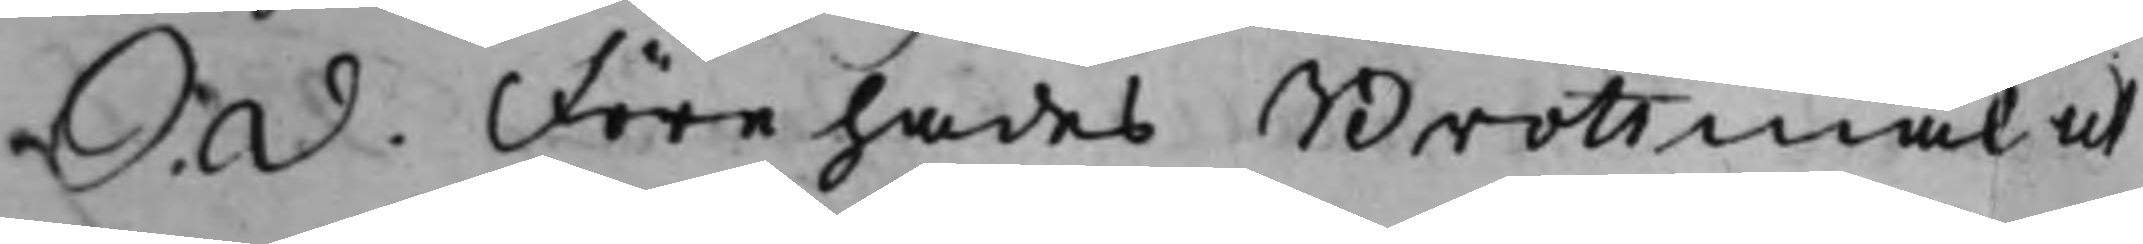S. d. Förehades Brottmål ut 
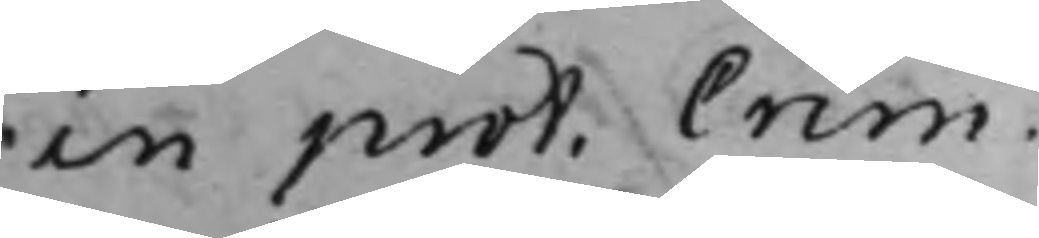in prot. Crim. 
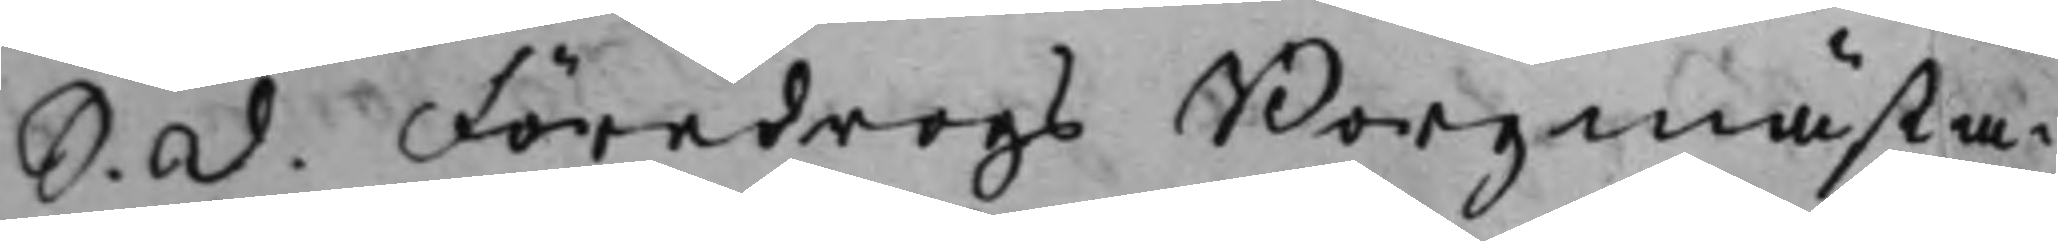S. d. Föredrogs Borgmästa¬ 
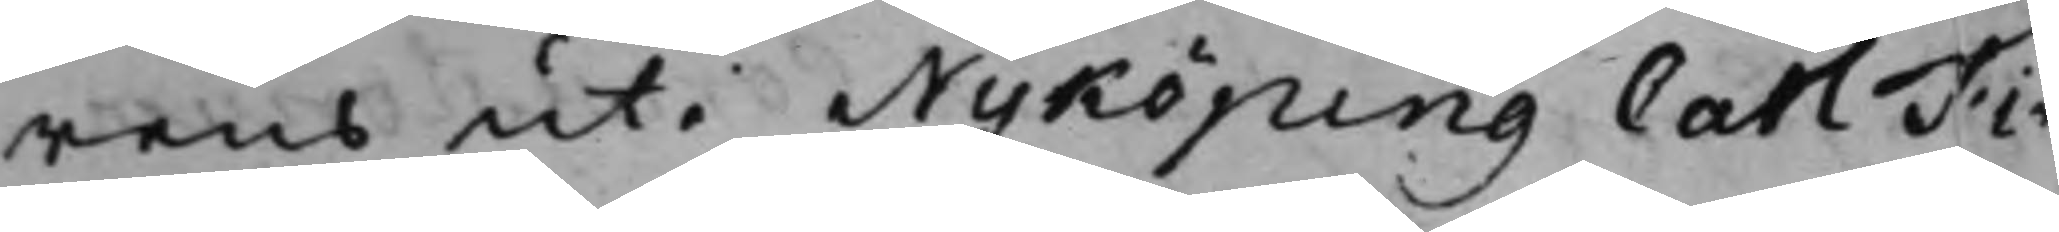rens uti Nyköping Carl Fi¬
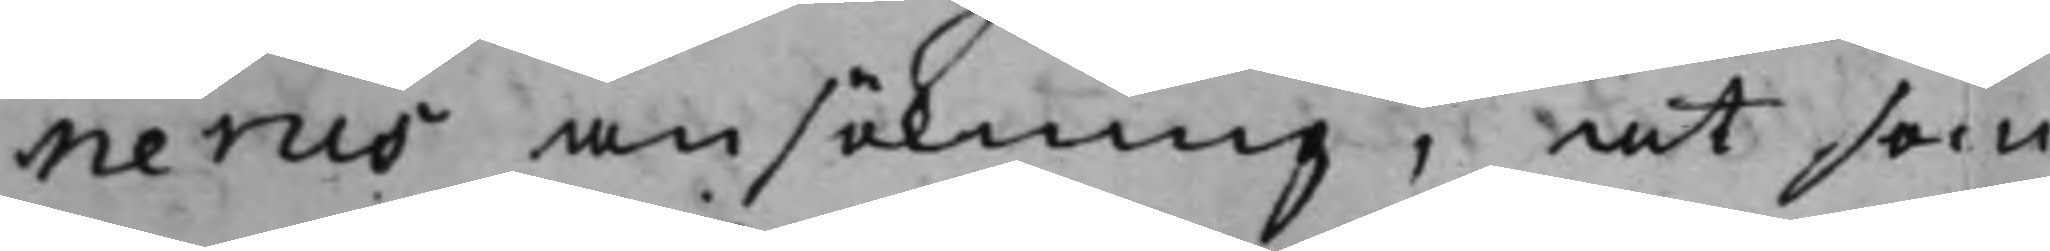nerus ansökning, at som
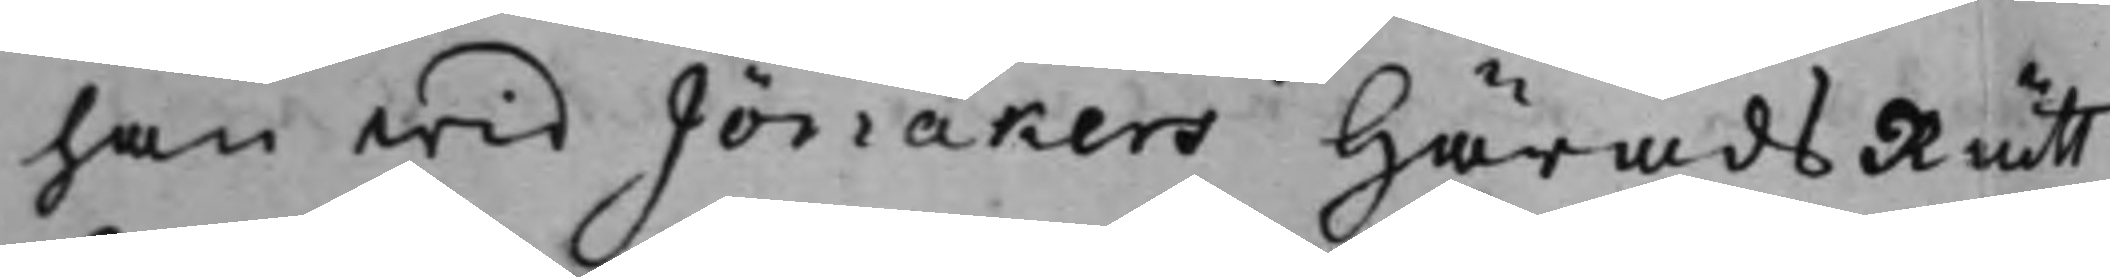han wid Jönåkers HäradsRätt
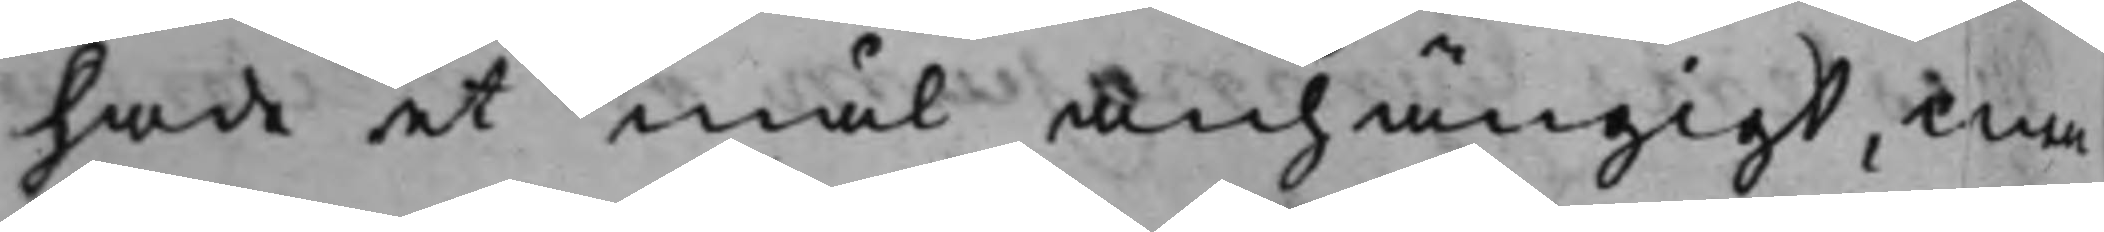hade et mål anhängigt, men
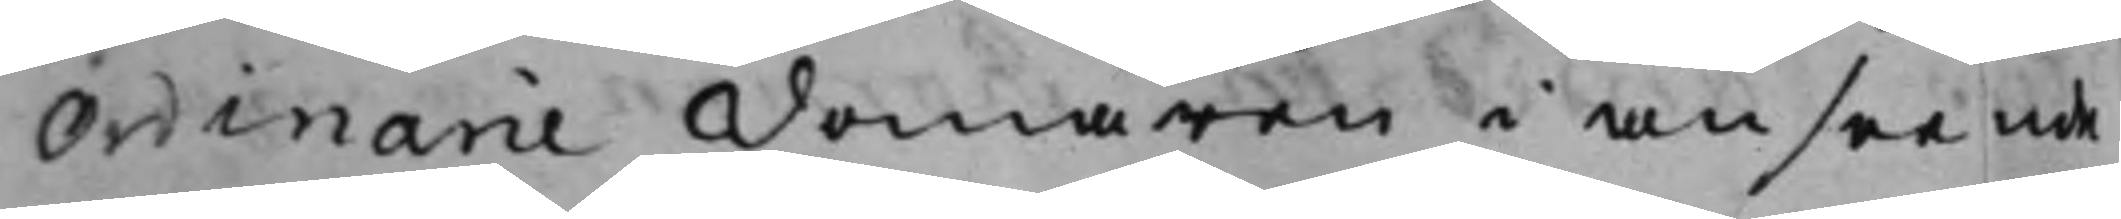Ordinarie Domaren i anseende
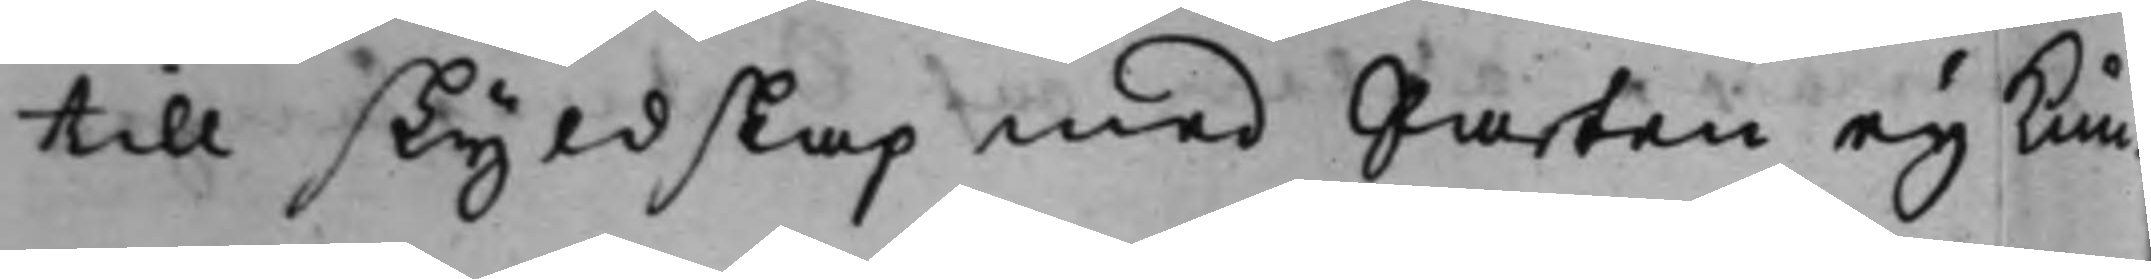till skyldskap med Parten ey kun¬
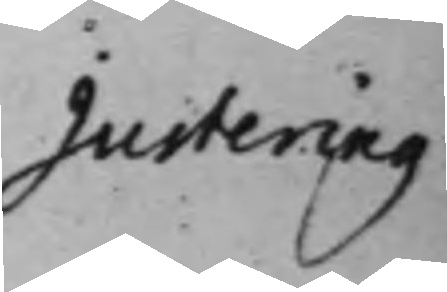Justering 
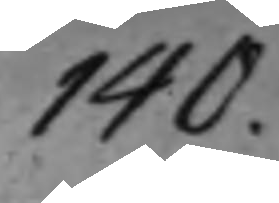140.
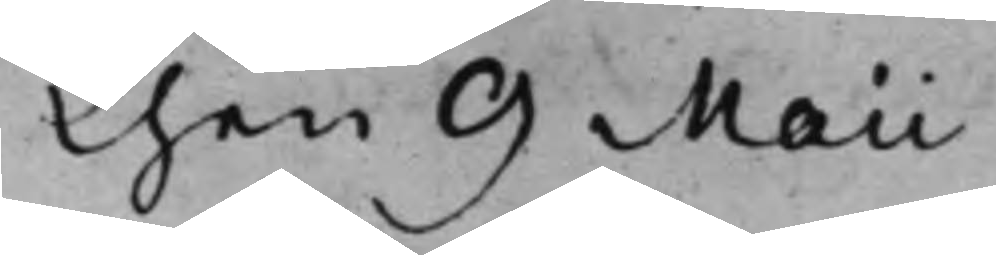Then 9 Maii
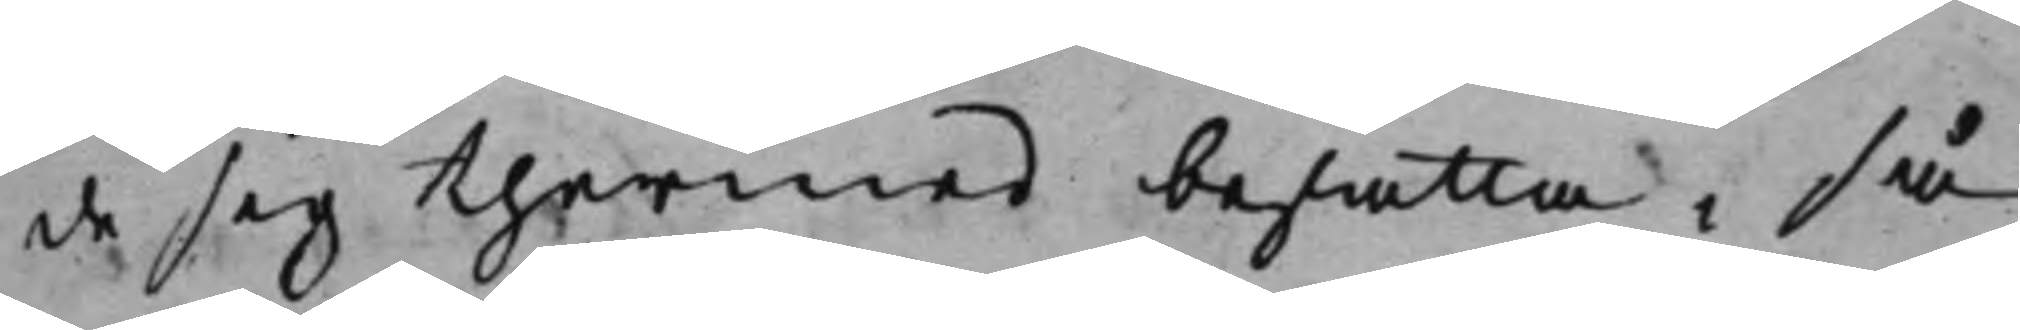de sig thermed befatta, så
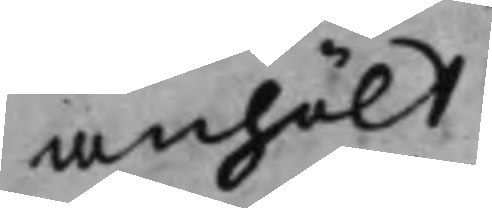anhölt
